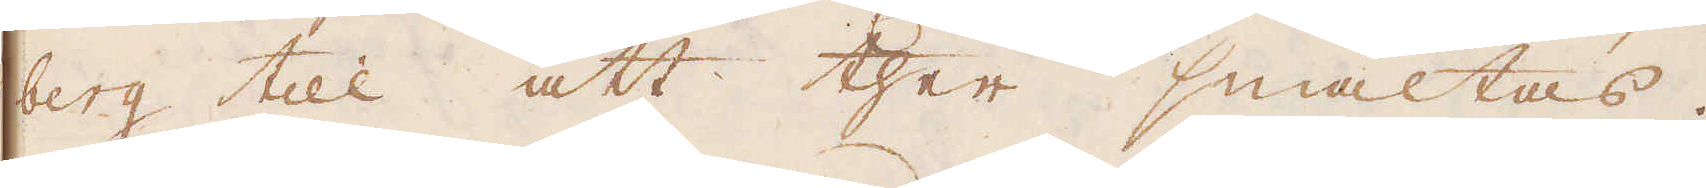berg till att ther smältas;
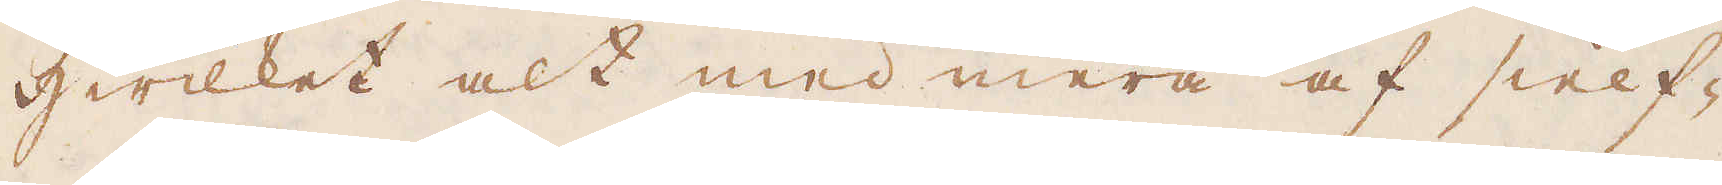Hwilket alt med mera af sielf-
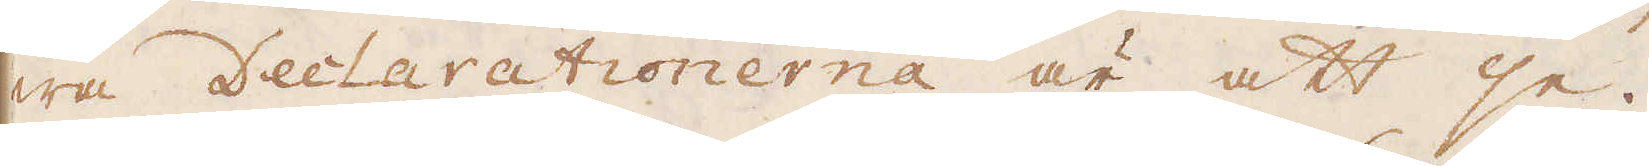wa Declarationerna är att se.
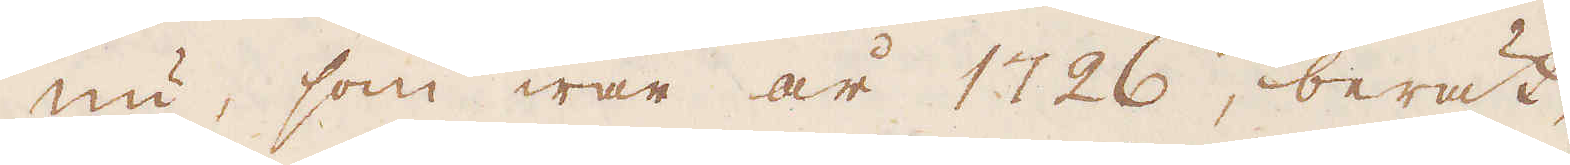Nu, som war år 1726, berät-
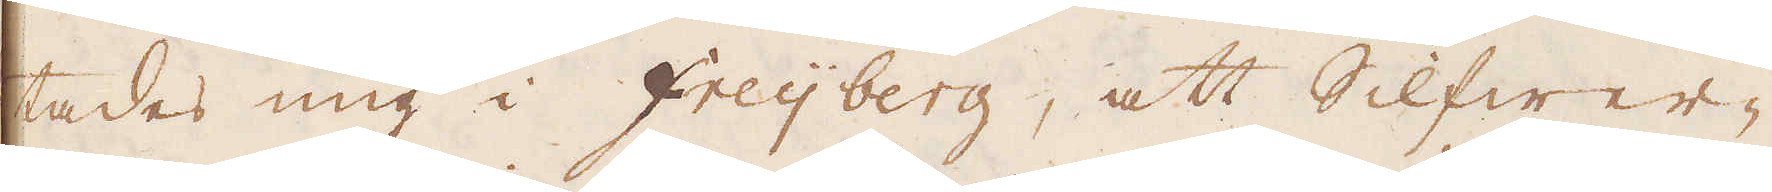tades mig i Freijberg, att Silfwer-
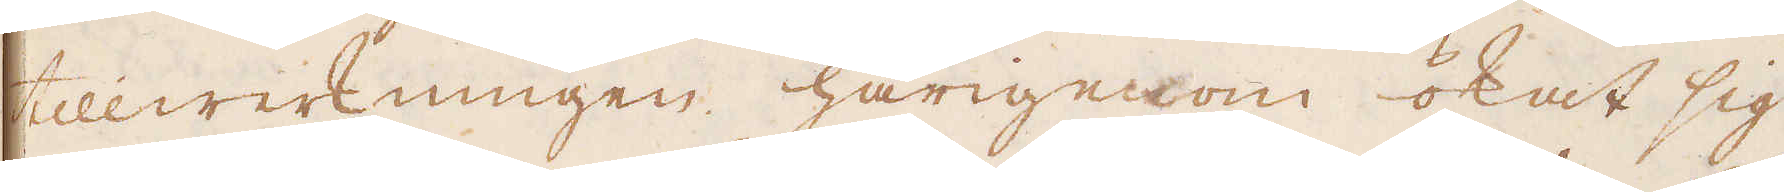tillwerkningen härigenom ökat sig
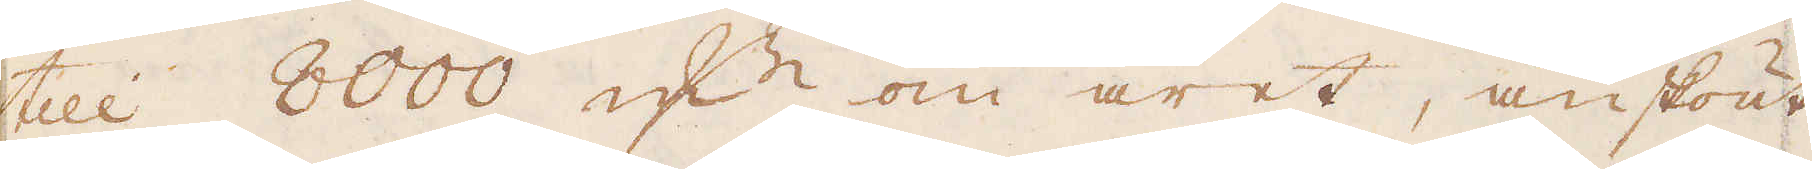till 8000 qv:r om året, änskönt
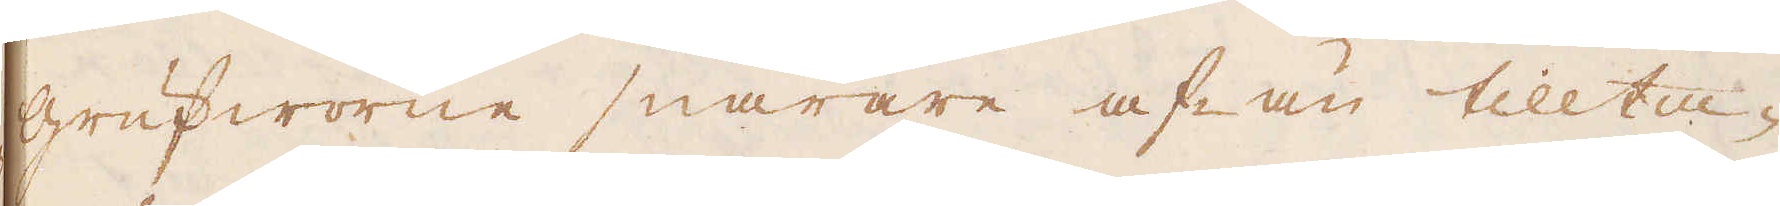grufworne snarare af- än tillta-
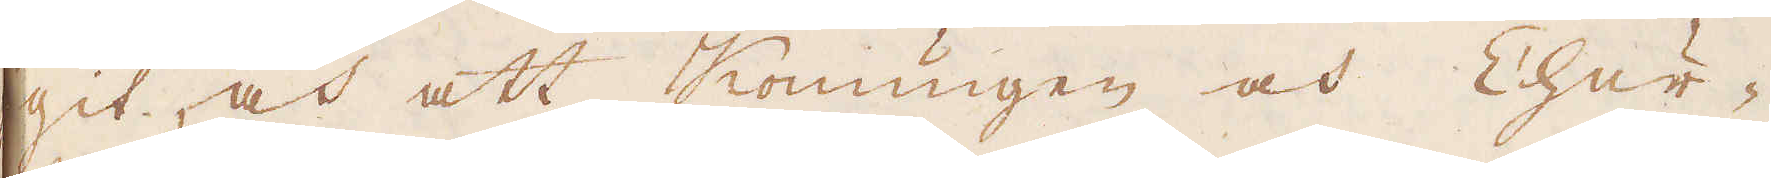git, och att Konungen och Chur-
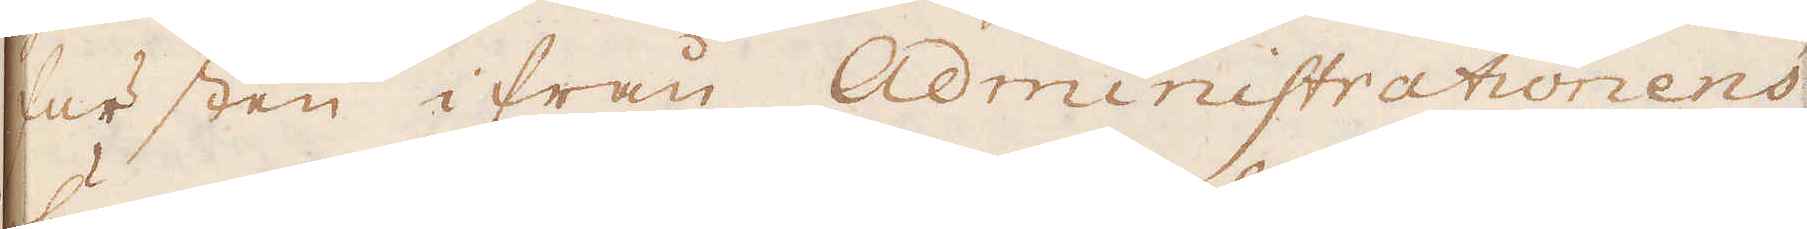fursten ifrån Administrationens
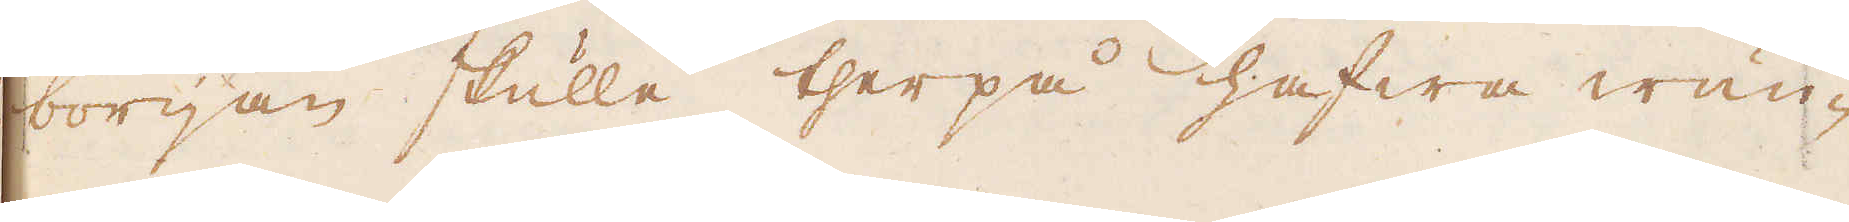början skulle therpå hafwa wun-
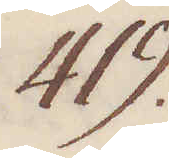419.
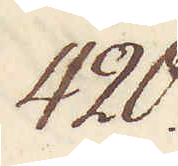420.
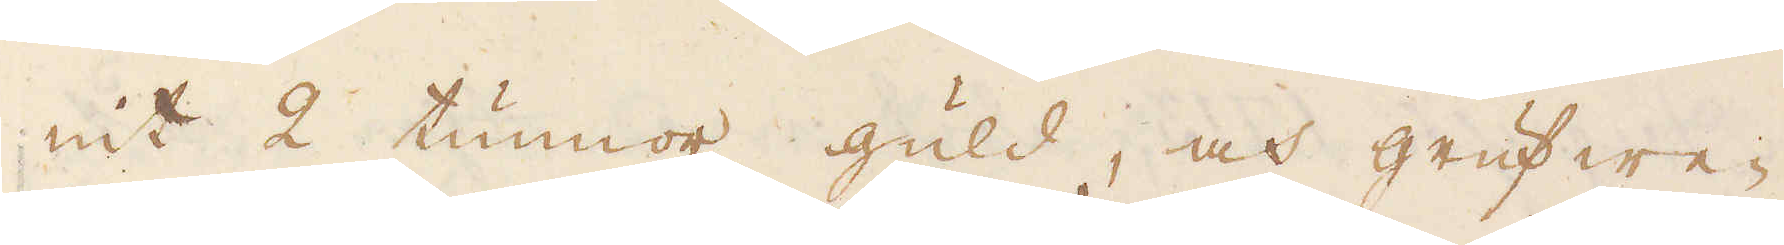nit 2 tunnor guld, och grufwe-
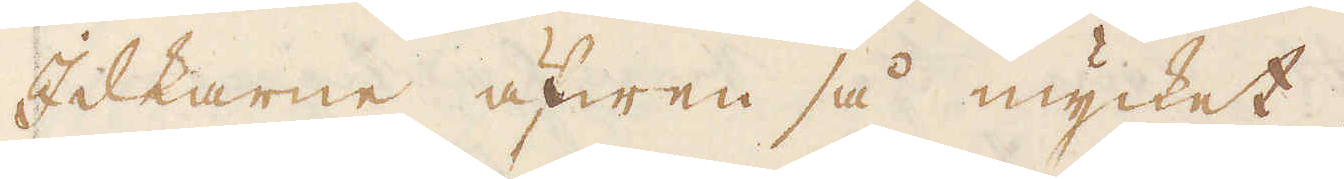Idkarne äfwen så mycket.
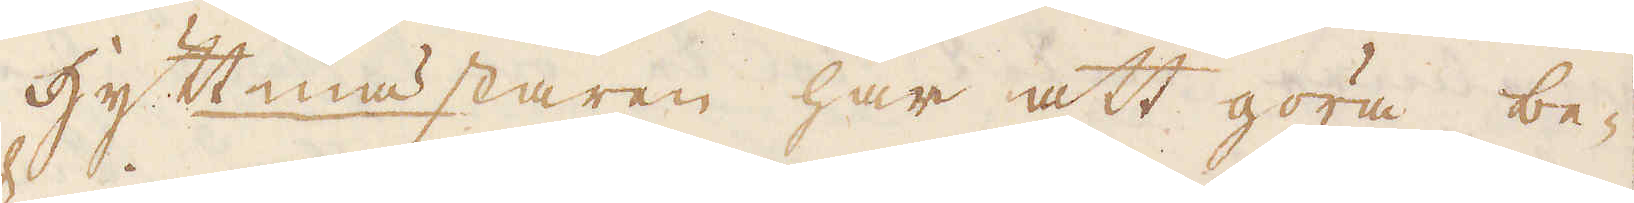Hyttmästaren har att göra be-
